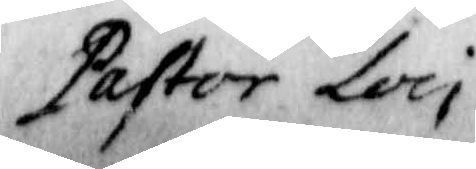Pastor Loci
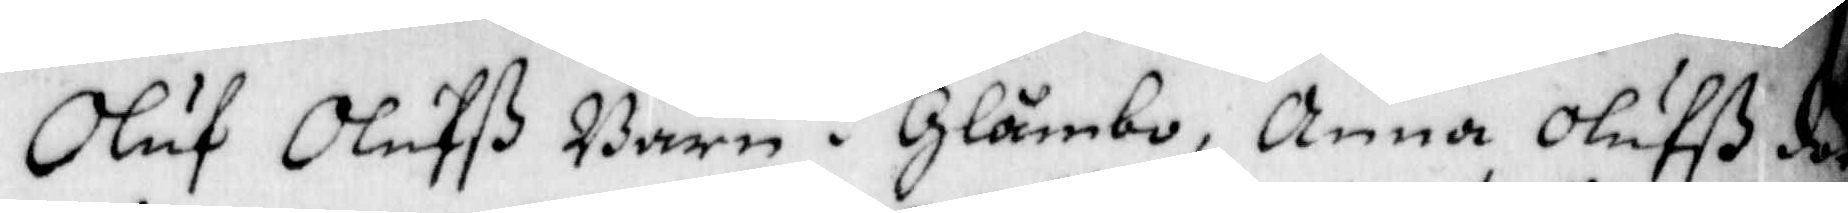Oluf Olufß Barn i Glämbo, Anna ß dott
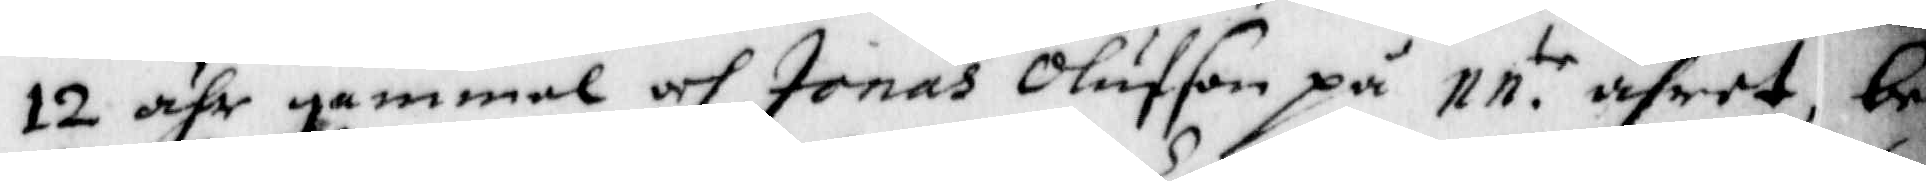12 åhr gammal och Jonas Olufson på 11te åhret, be¬
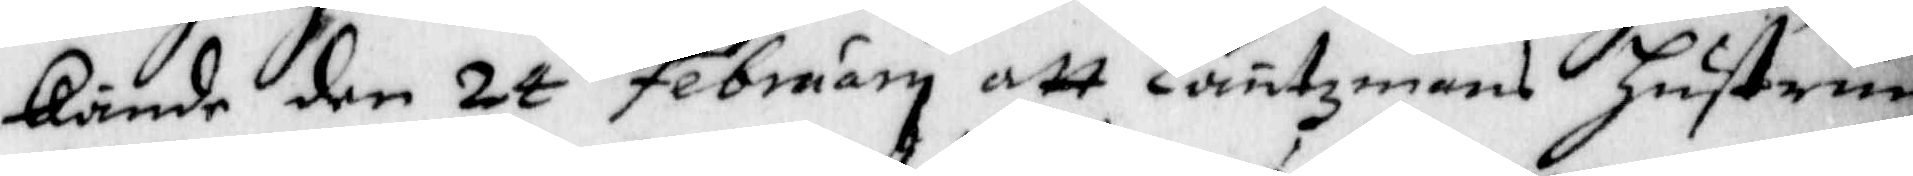kände den 24 February att Läntzmans hustrun
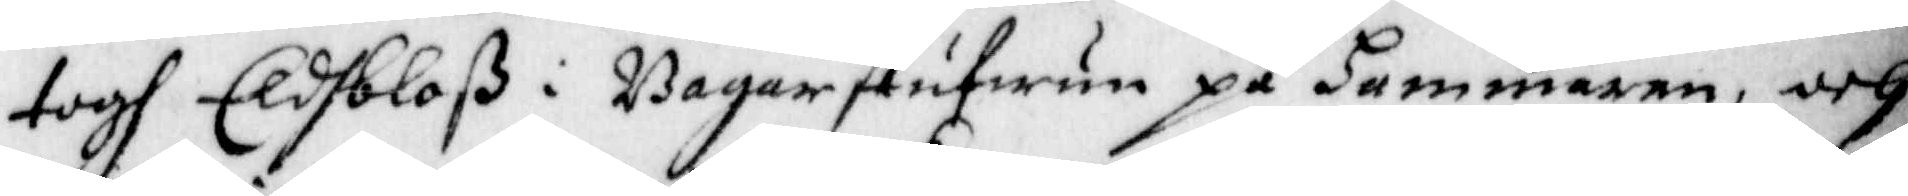togh Eldbloß i Bagarstufwun på hammaren, och
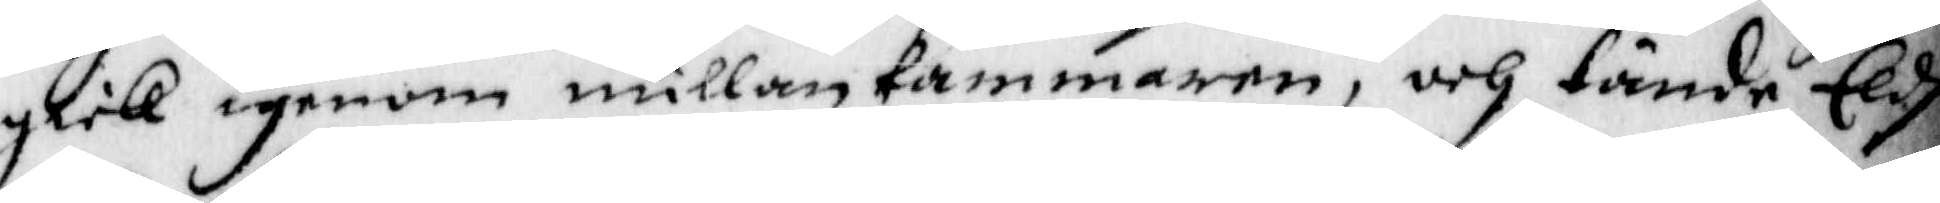gick igenom millankammaren, och tände Eldh
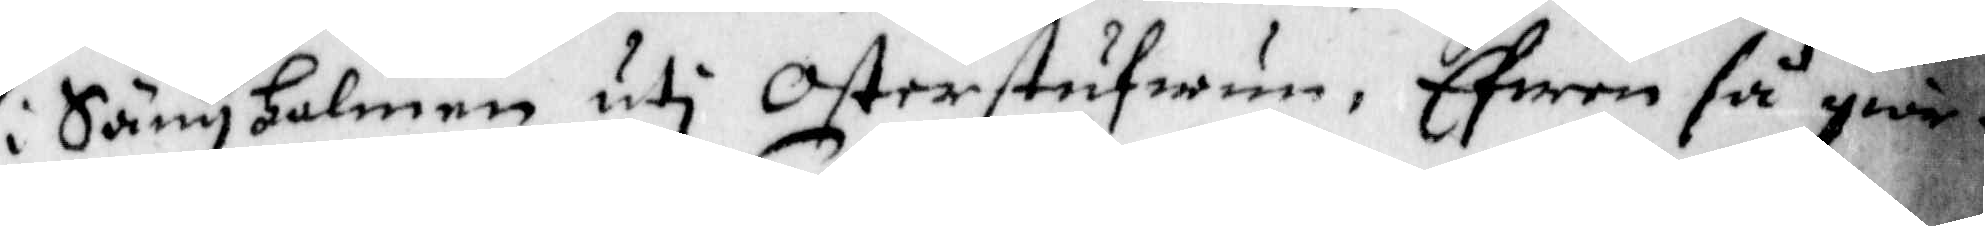i Sänghalmen uti Osterstufwun, Efwen så goir¬
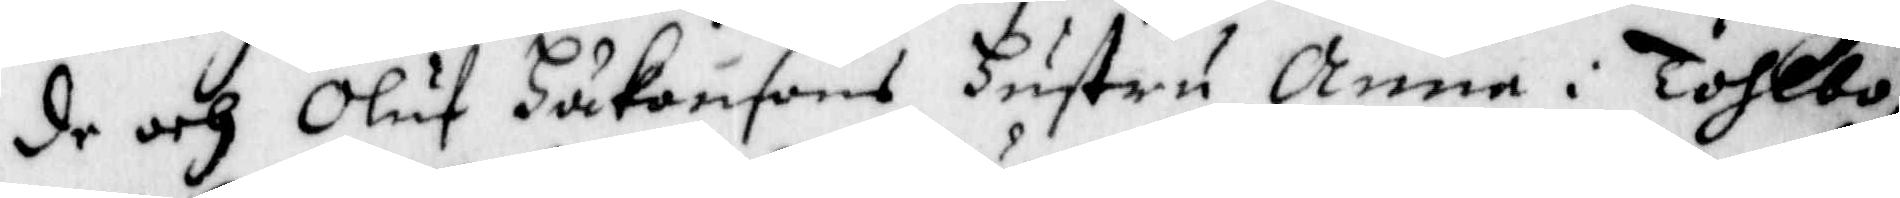de och Oluf Håkansons hustru Anna i Tohlbo,
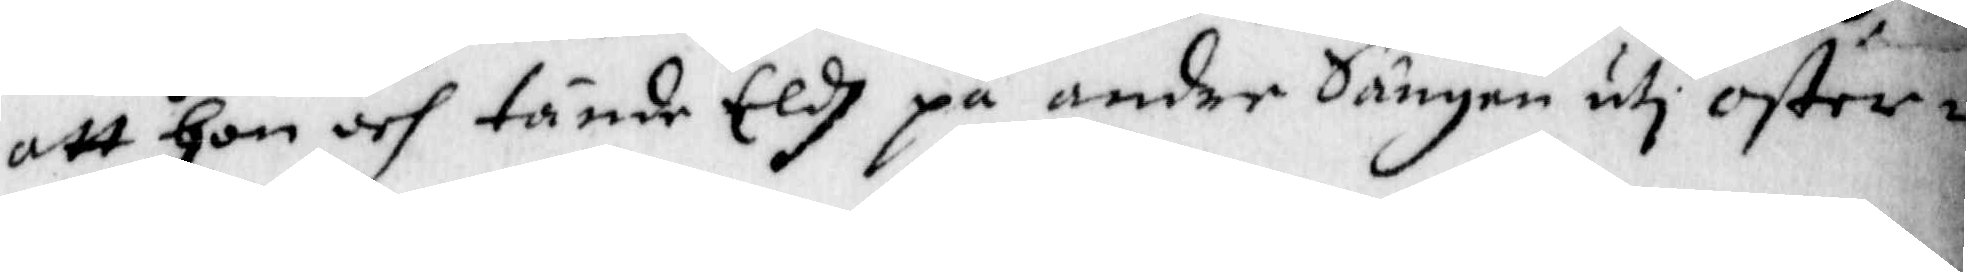att hon och tände Eldh på andre Sängen uti oster¬
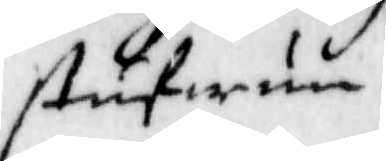stufwun.
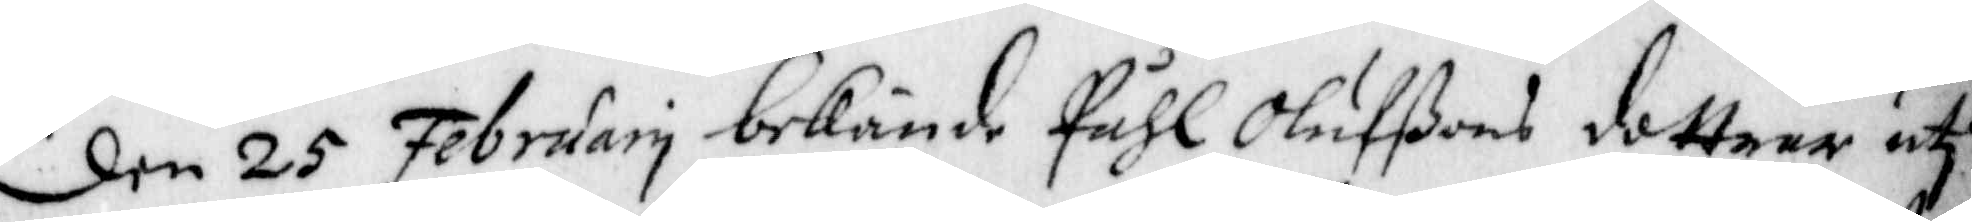den 25 February bekände Påhl Olufßons dottrar uti
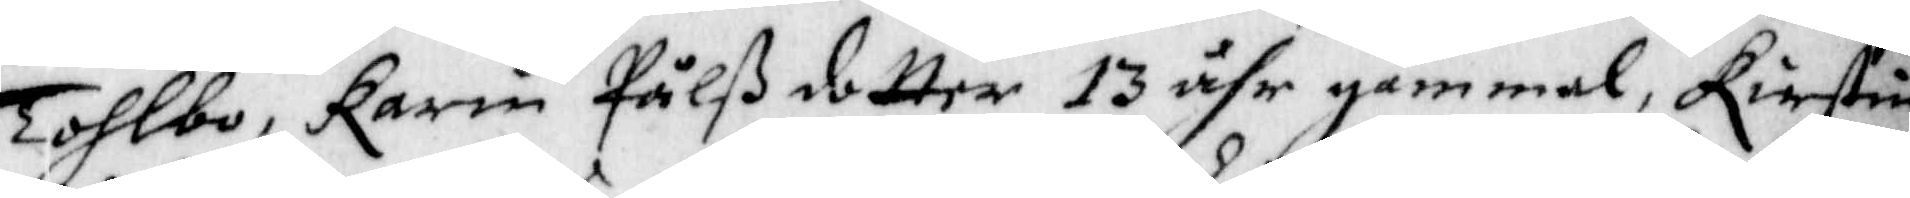Tohlbo, karin Pålßdotter 13 åhr gammal, Kirstin
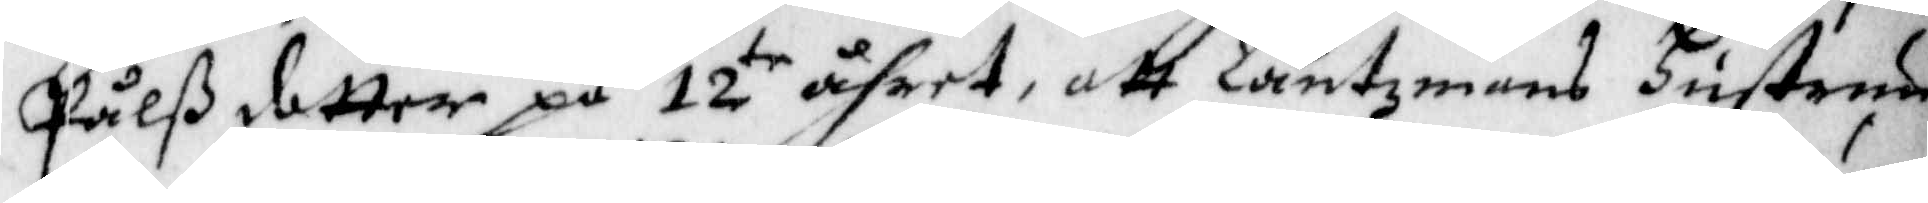Pålß dotter på 12te åhret, att Läntzmans hustrun
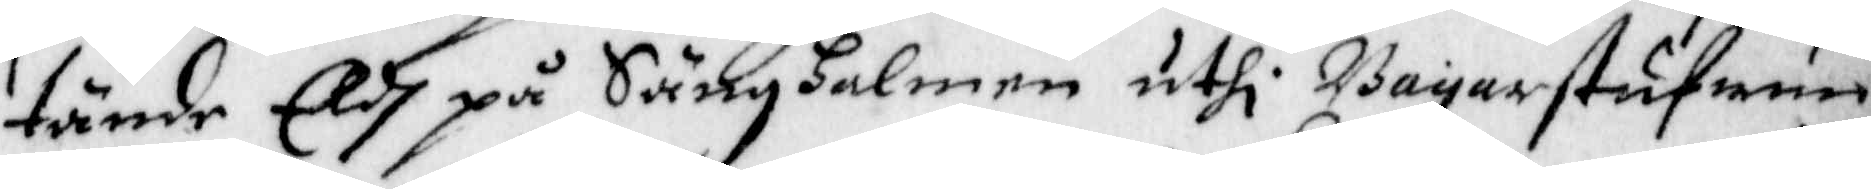tände Eldh på Sänghalmen uthi Bagarstufwun,
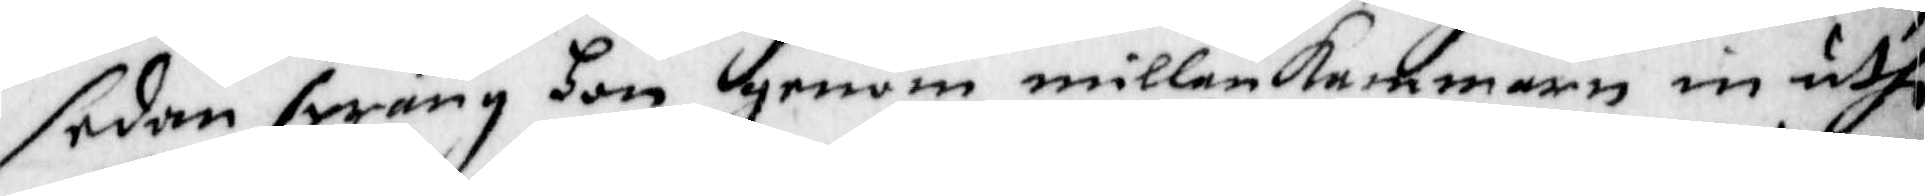sedan sprang hon genom millankammaren in uthi
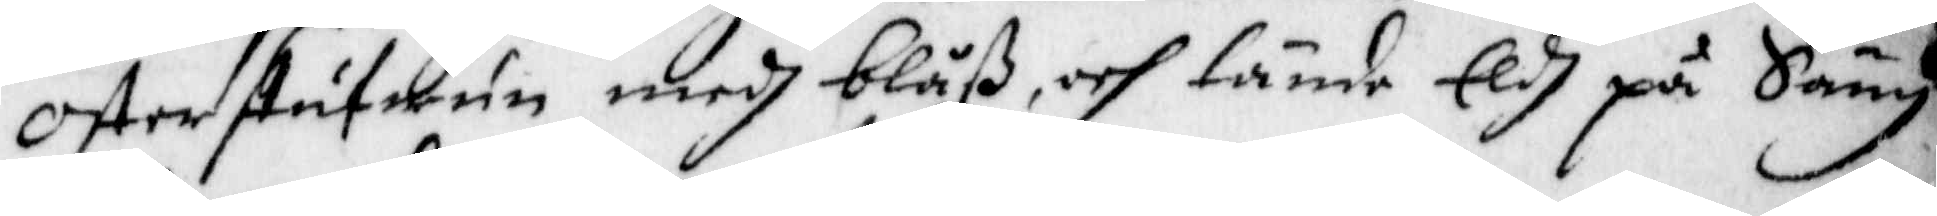Osterstufwun medh blåß, och tände Eldh på Säng¬
